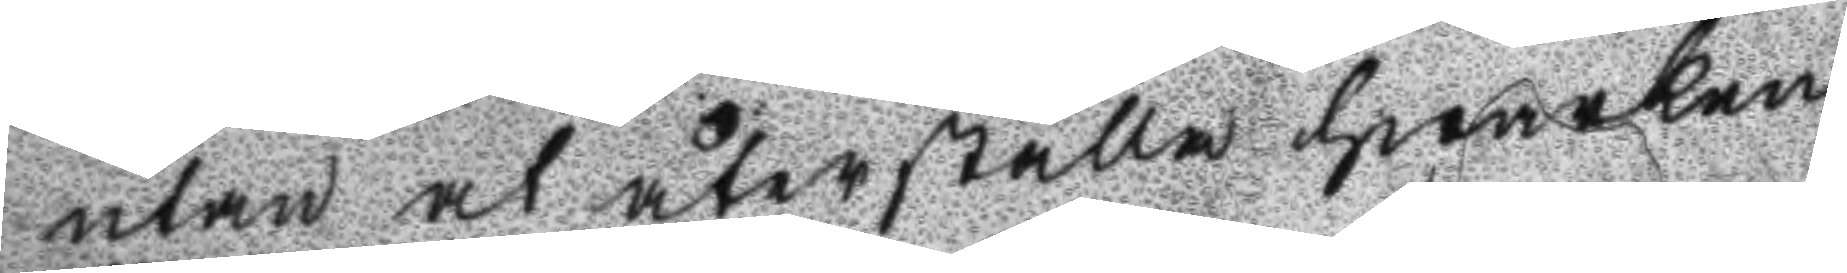utan at återställa hwarken
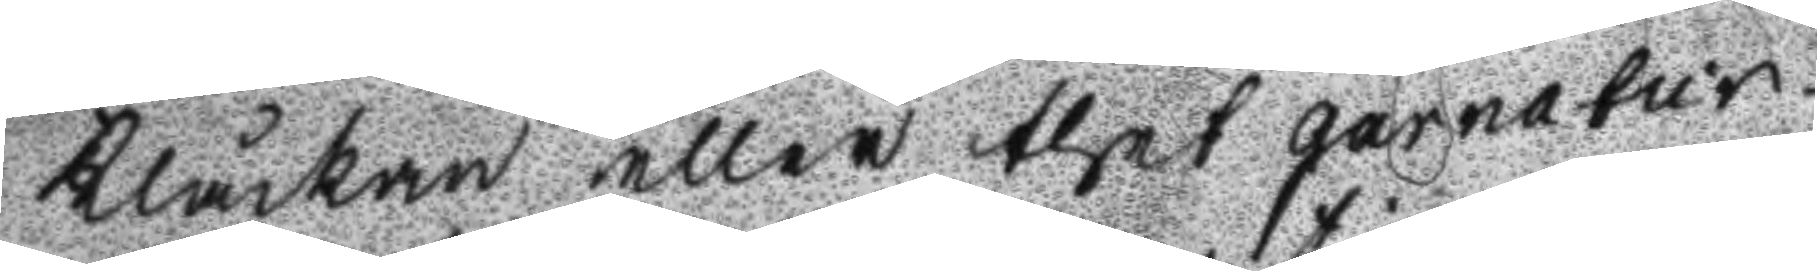Klåckan eller thet garnatur¬
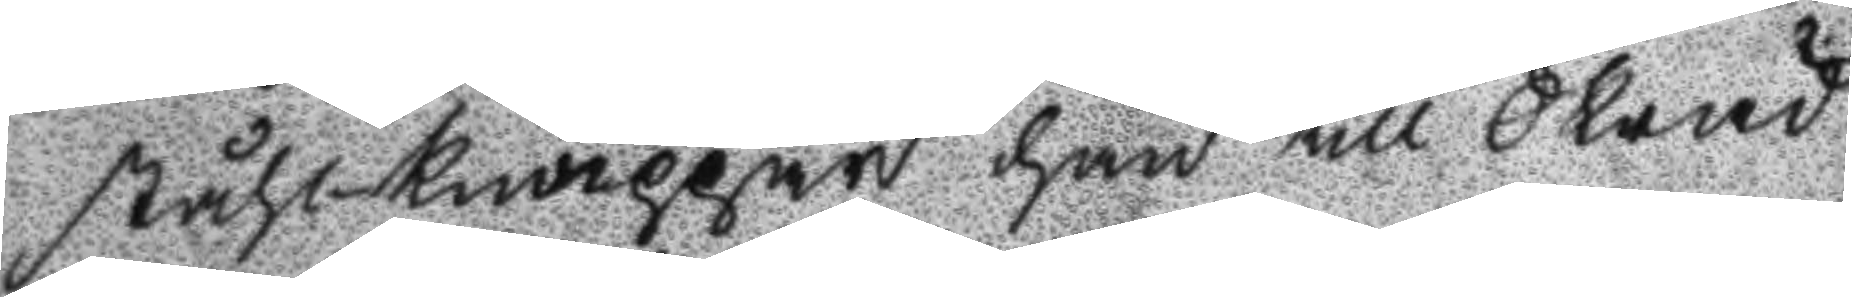ståhl-knappar han till Skräd
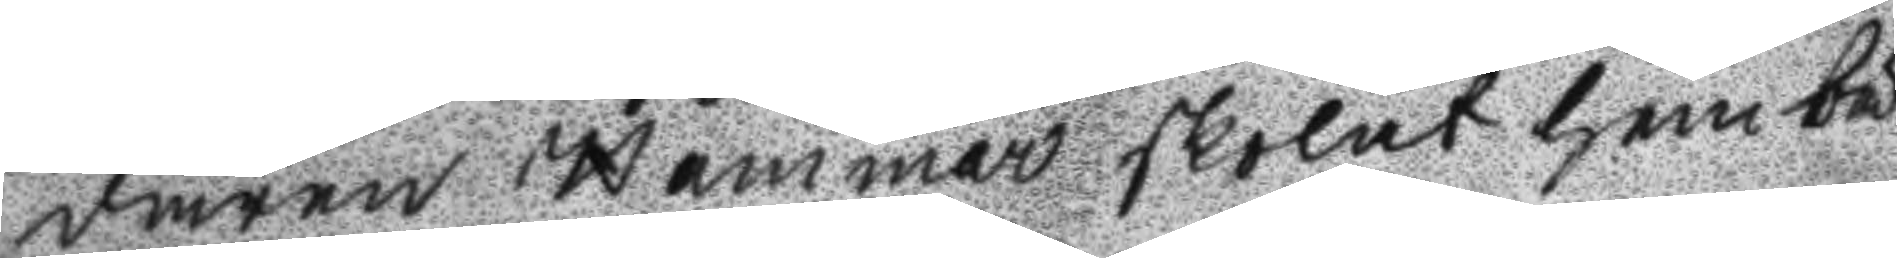daren Hammar skolat hembä
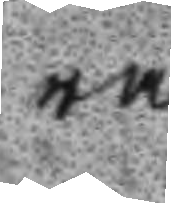ra.
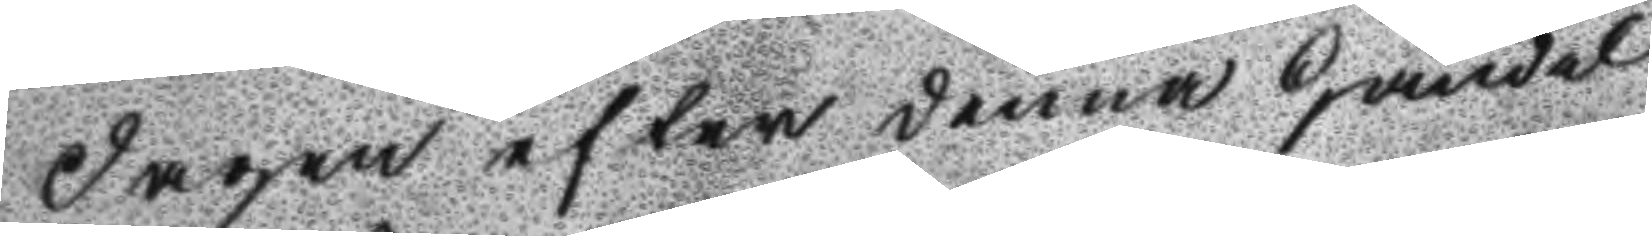Dagen efter denna händel
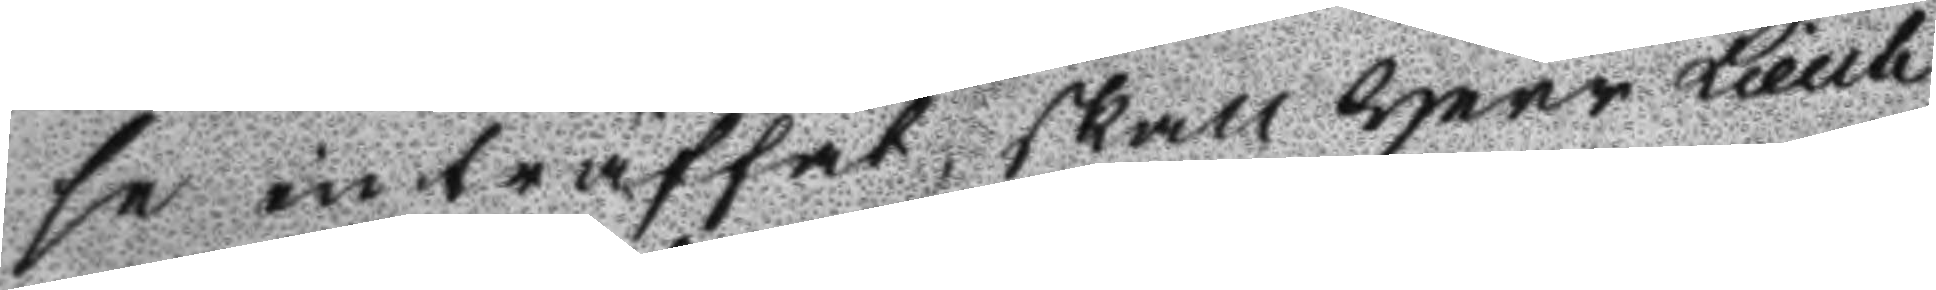se inträffat, skall Herr Lieute
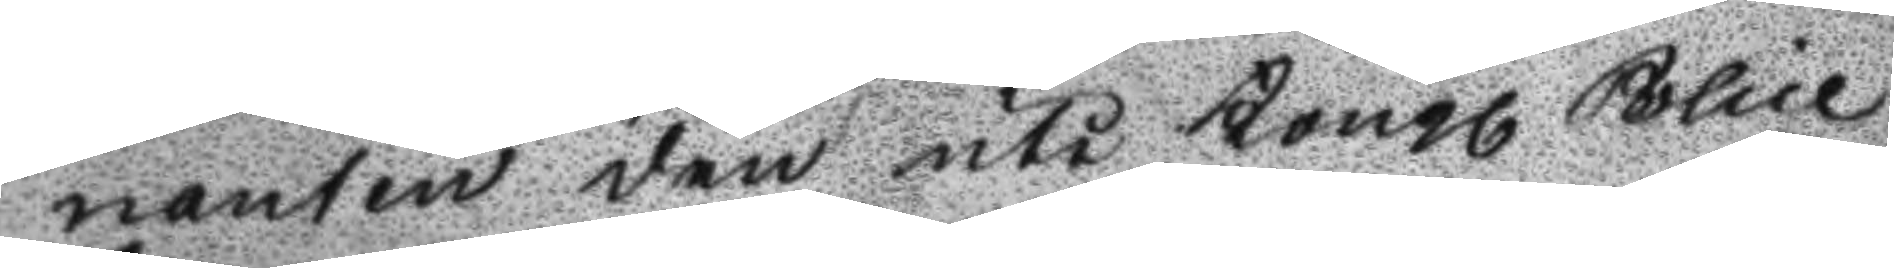nanten den uti Kongl Police
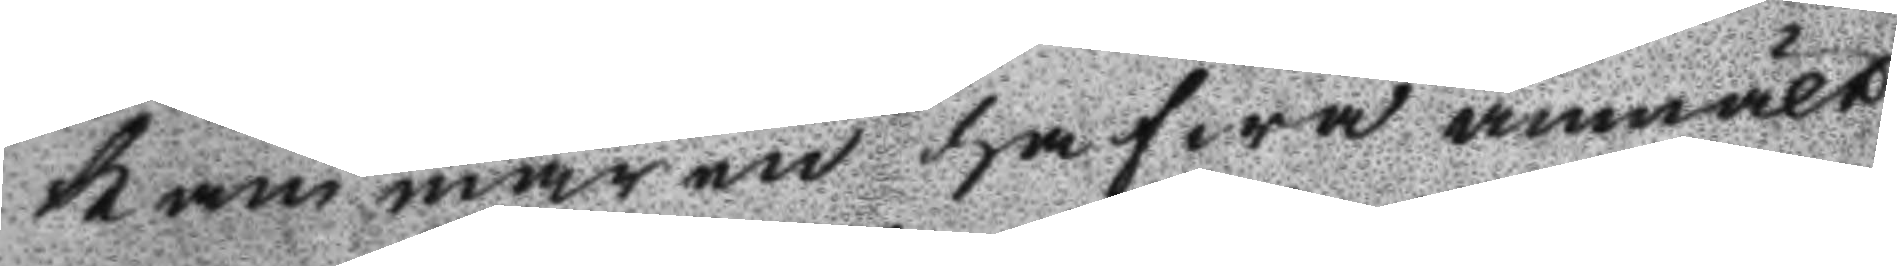kammaren hafwa anmält
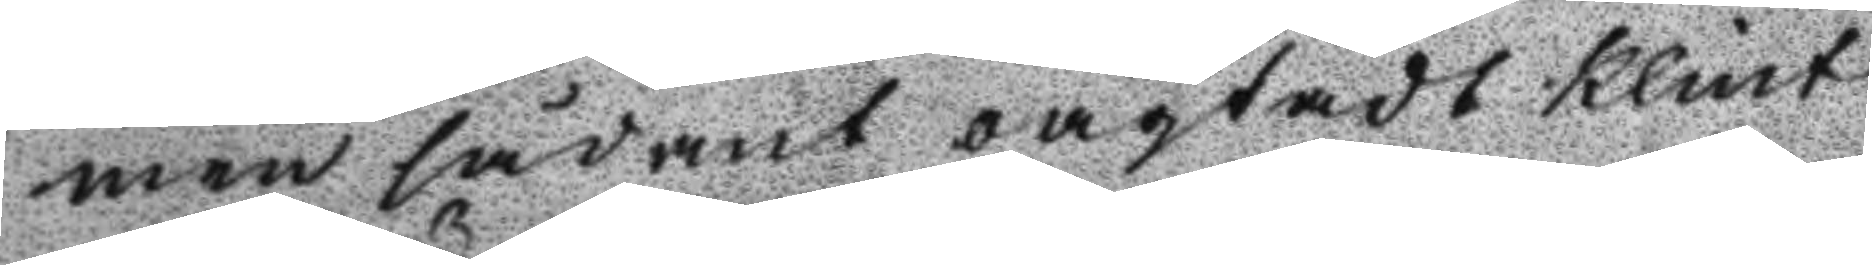men sådant oagtadt Klint
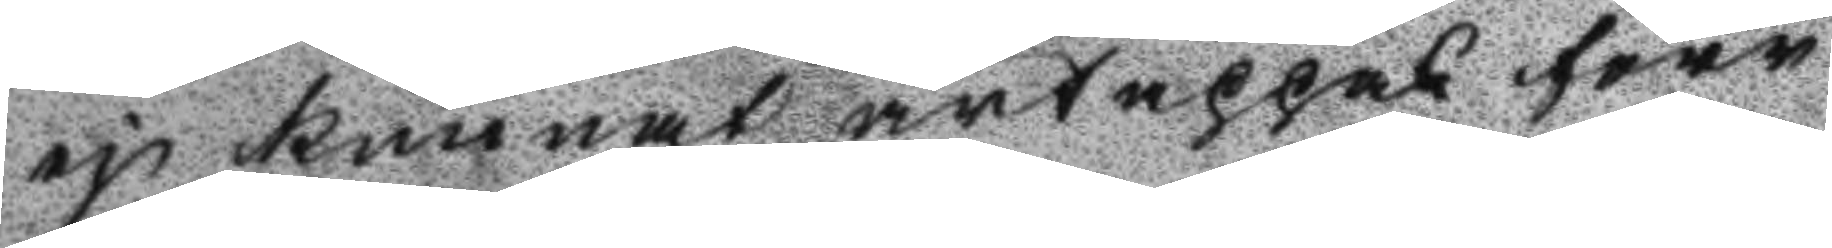ej kunnat ärtappas förr
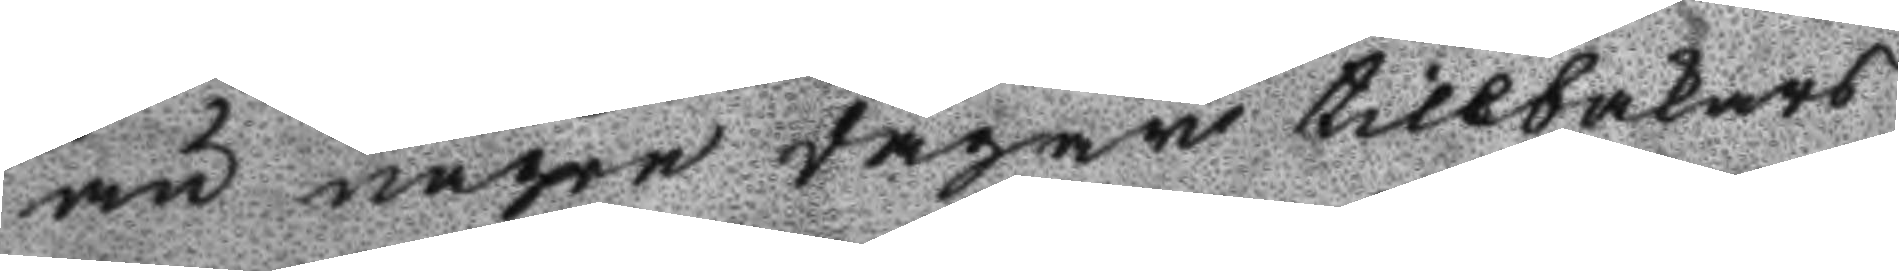än någre dagar tillbakars
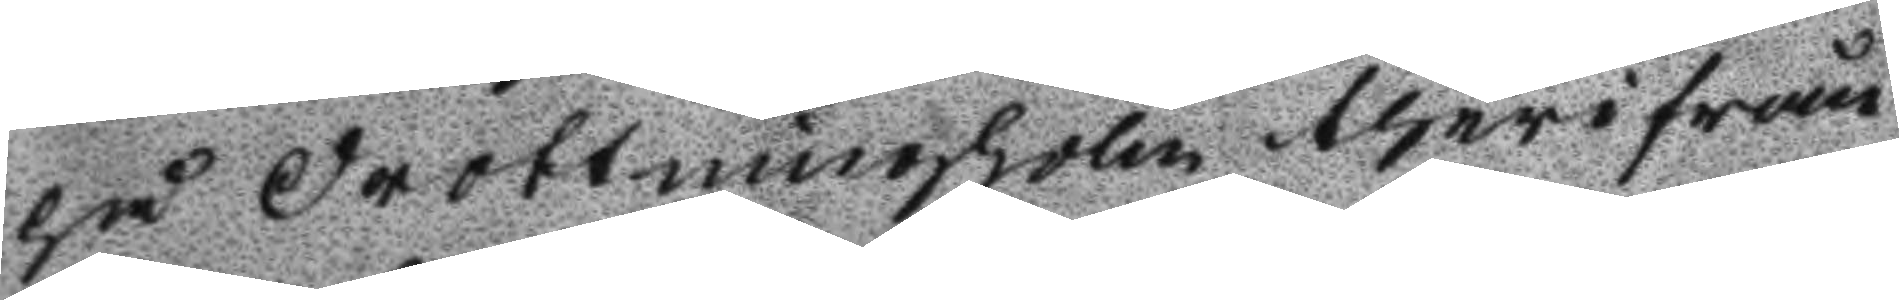på Drottningholm therifrån
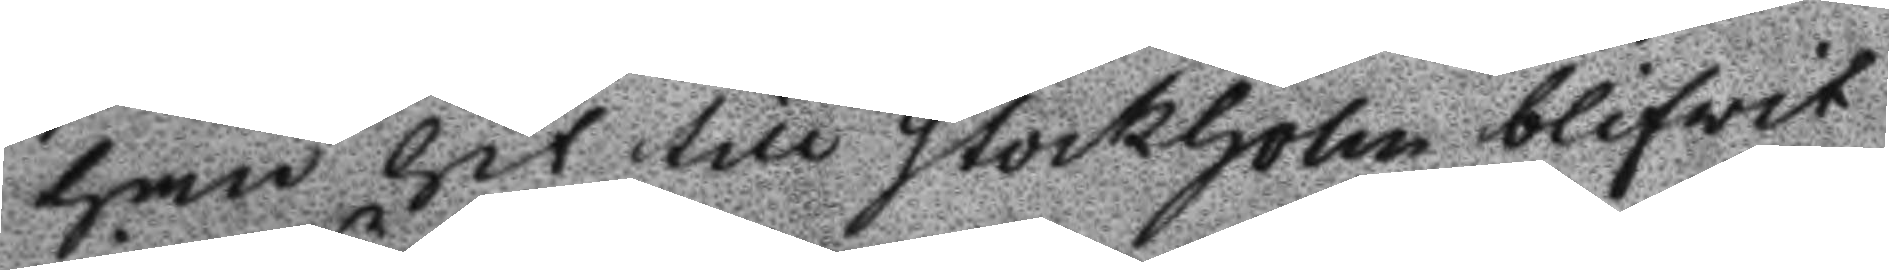han hit till Stockholm blifwit
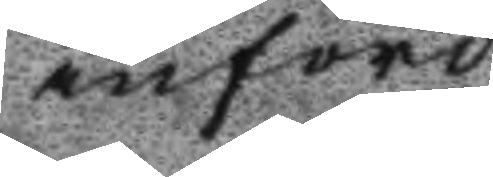införd.
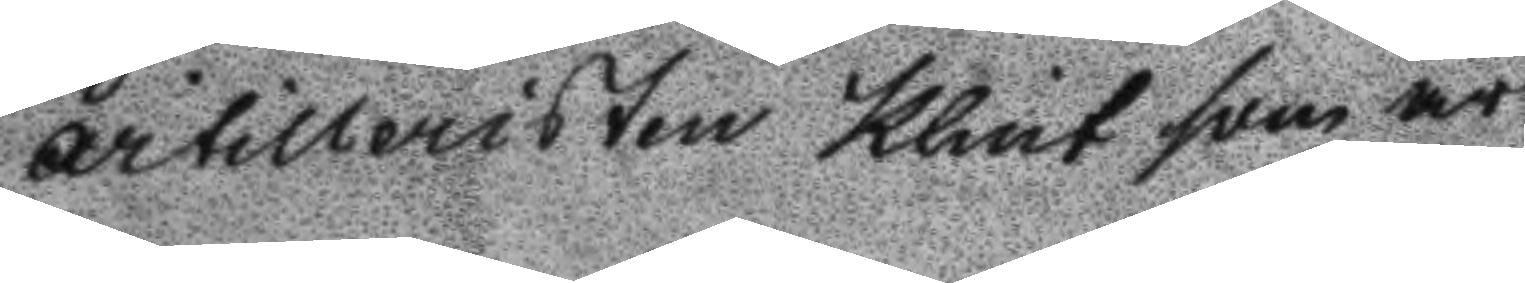Artilleristen Klint som är
